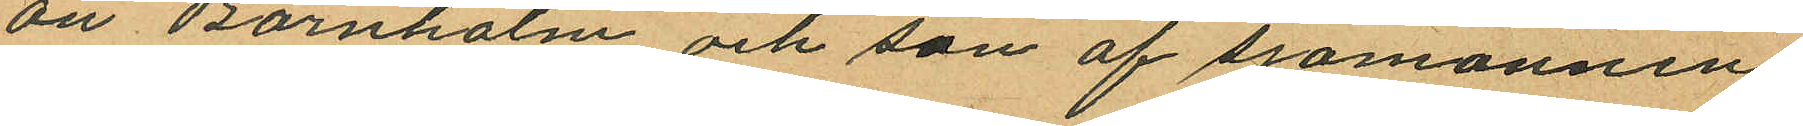ön Bornholm och son af sjömannen
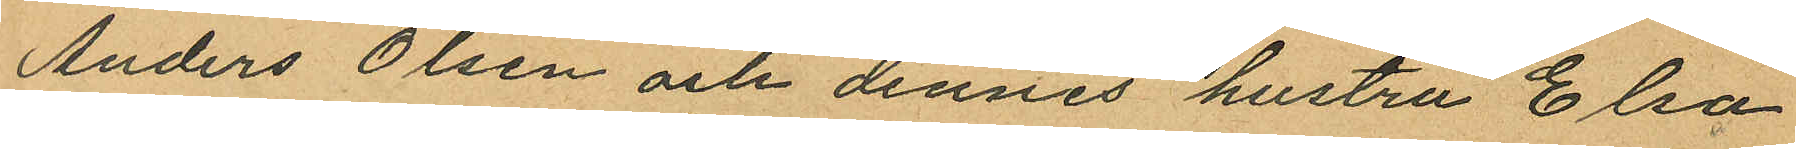Anders Olsen och dennes hustru Elsa
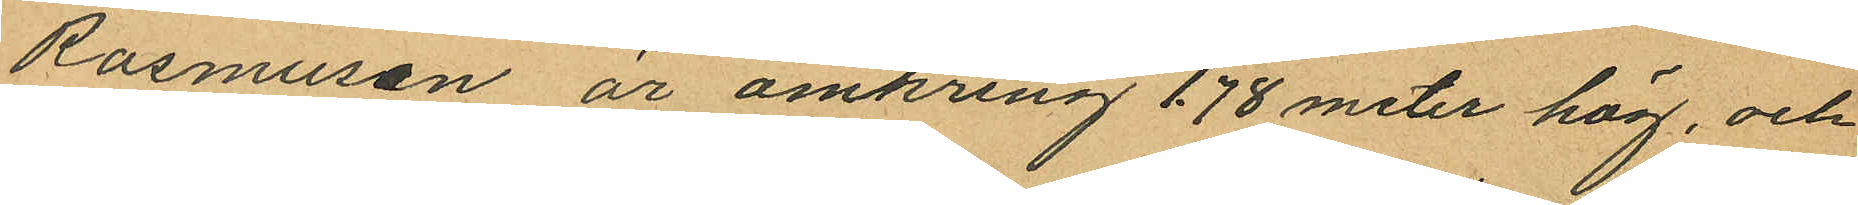Rasmusen, är omkring 1.78 meter hög, och
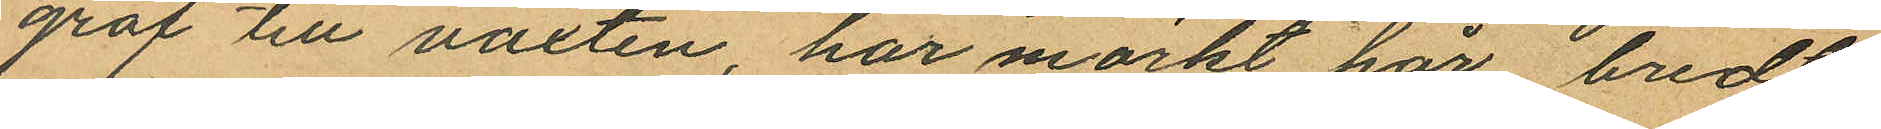grof till växten, har mörkt hår bredt
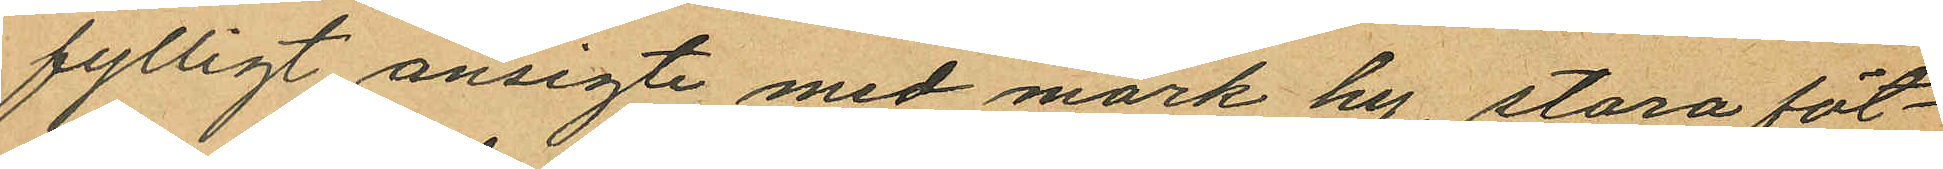fylligt ansigte med mörk hy, stora föt¬
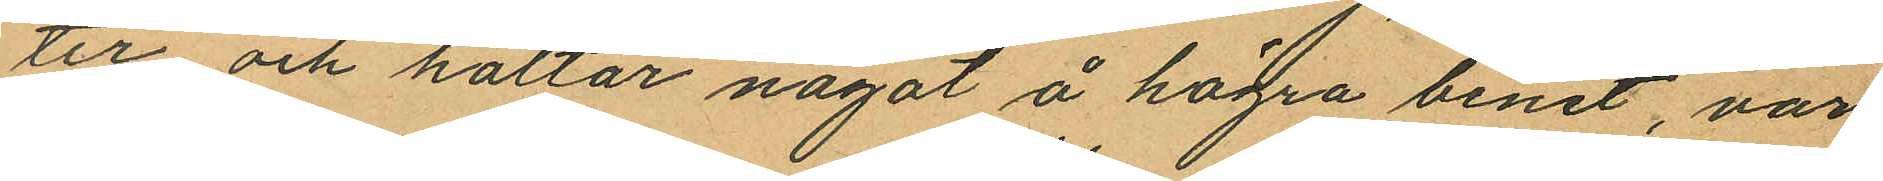ter och haltar något å högra benet, var
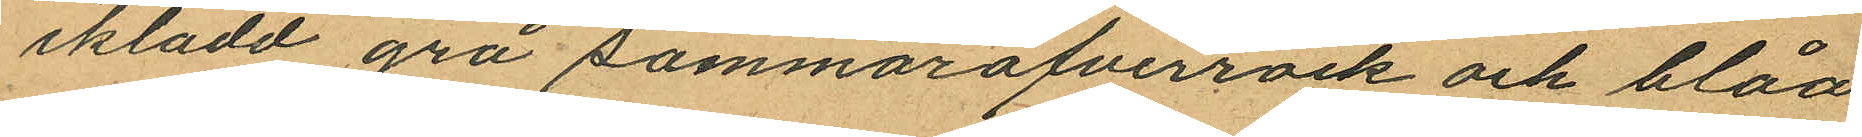iklädd grå sommaröfverrock och blåa
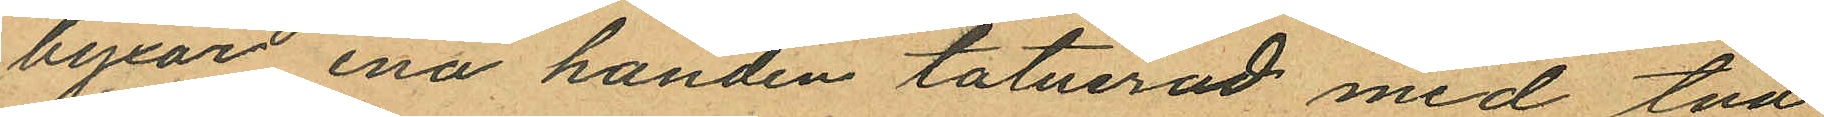byxor ena handen tatuerad med två
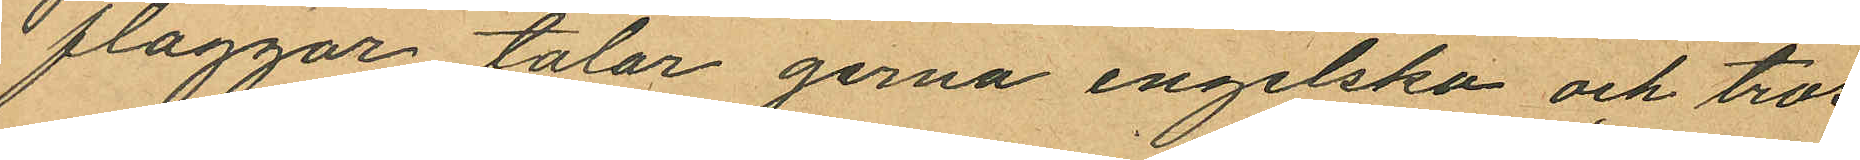flaggor, talar gerna engelska och tros
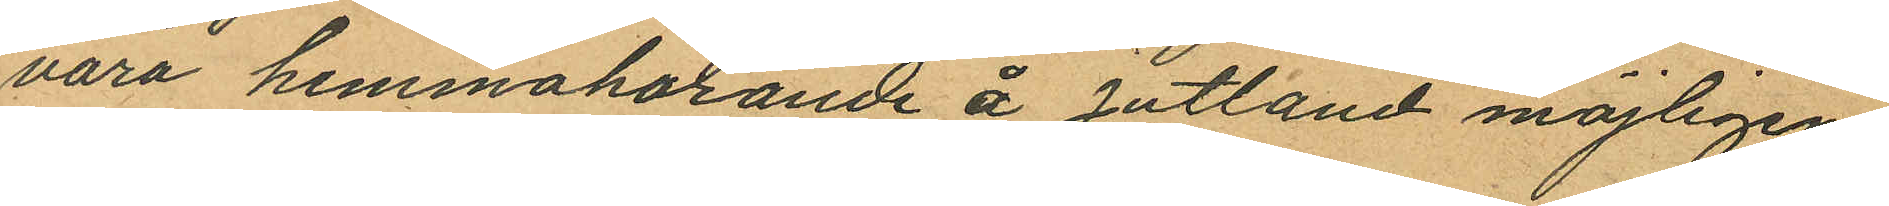vara hemmahörande å Jutland möjligen
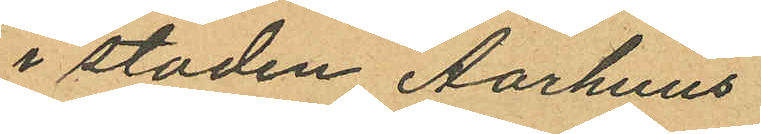i staden Aarhuus.
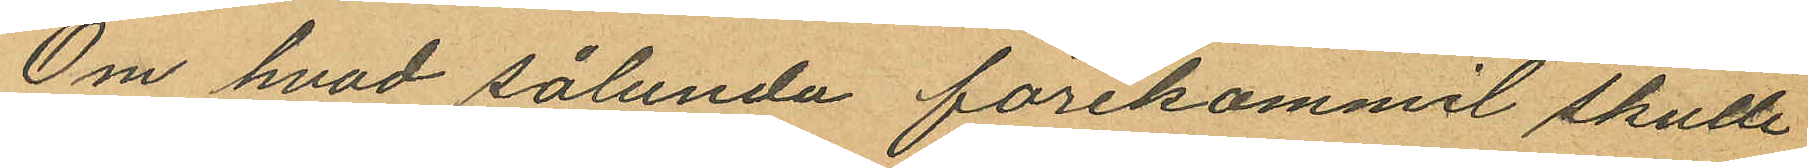Om hvad sålunda förekommit skulle
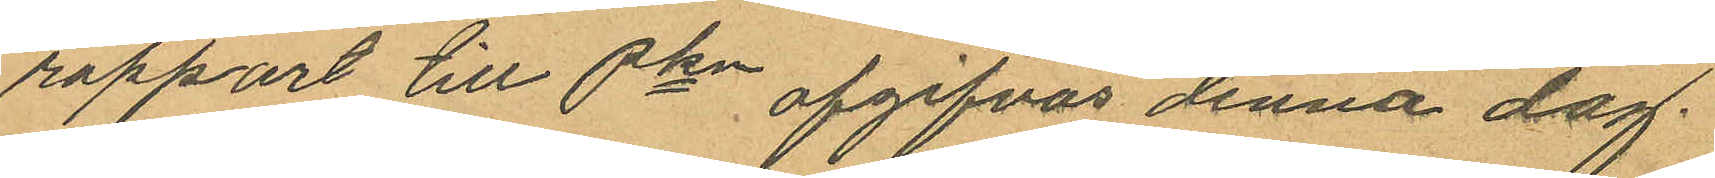rapport till Pkn afgifvas denna dag.
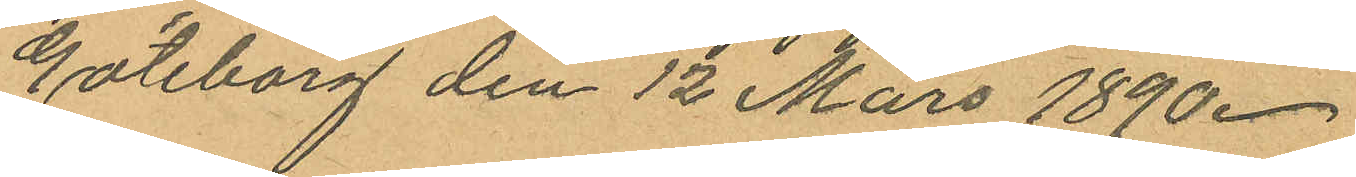Göteborg den 12 Mars 1890.
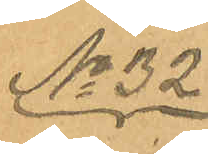No 32
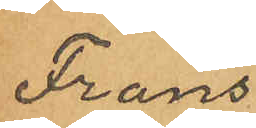Frans
